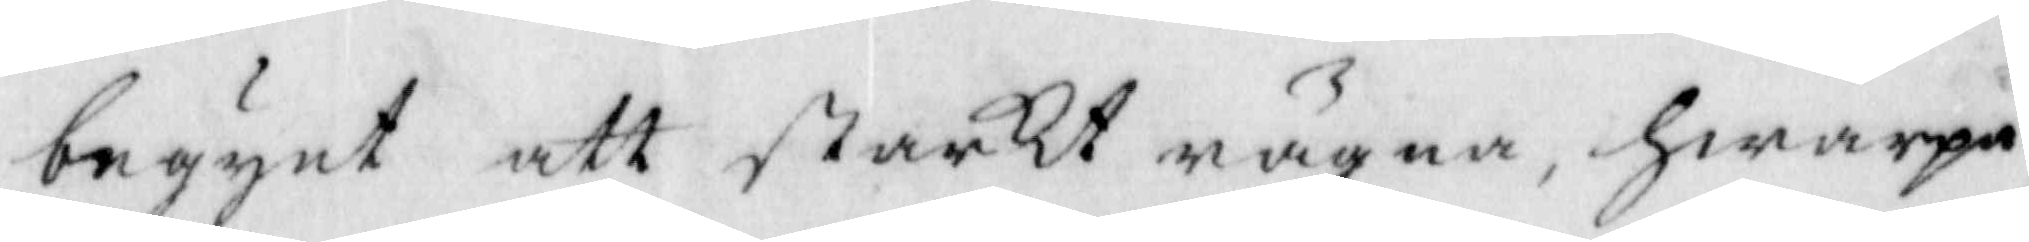begynt att starkt rägna, hwarpå
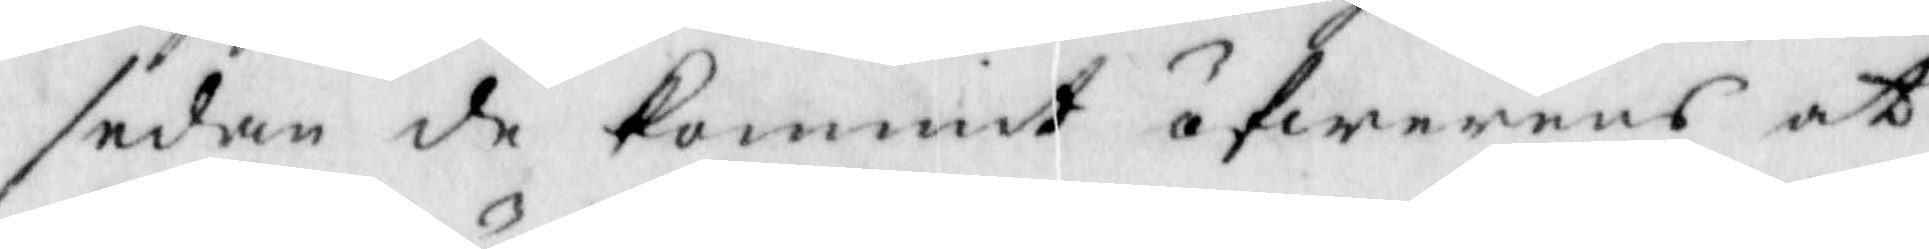sedan de kommit öfwerens at
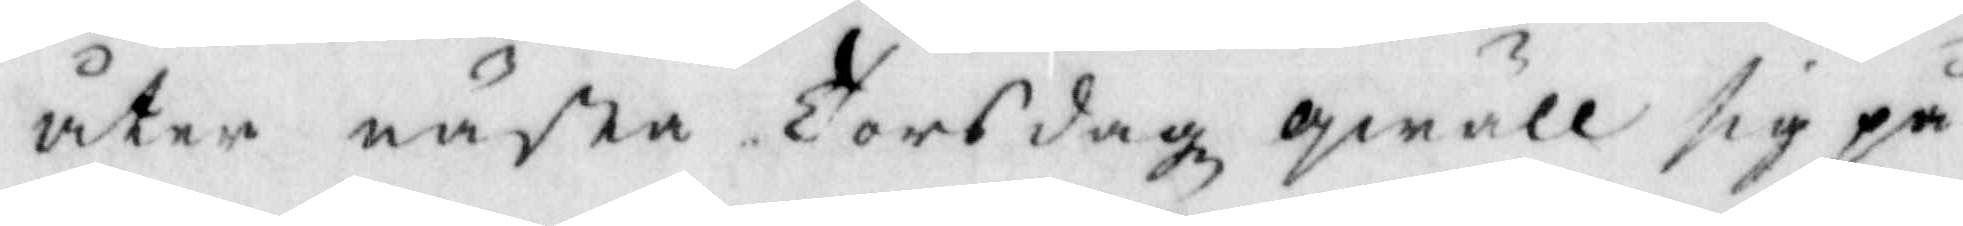åter några Torsdagz qwäll sig på
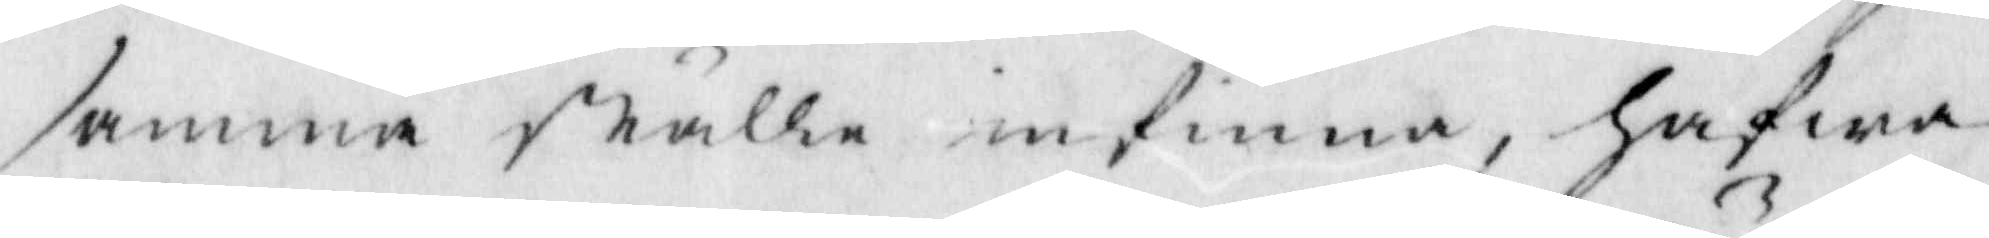samma ställe infinna, hafwa
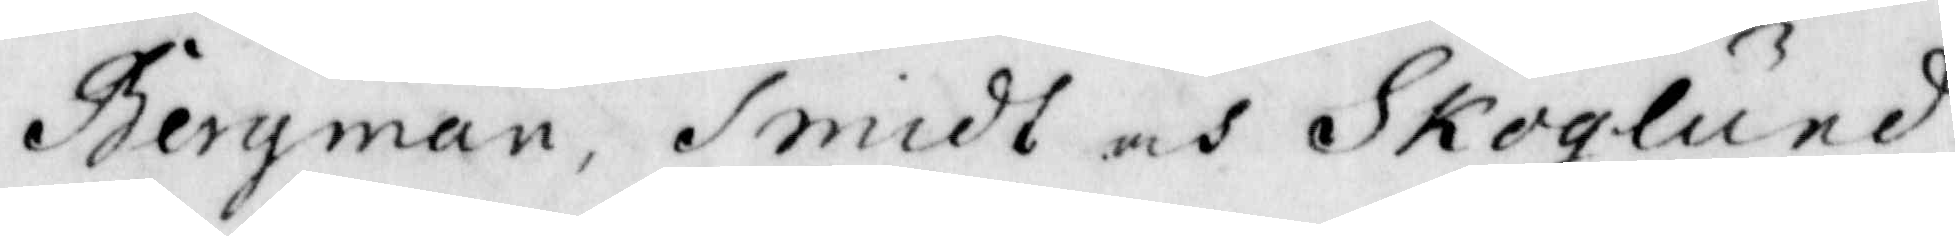Bergman, Smidt och Skoglund
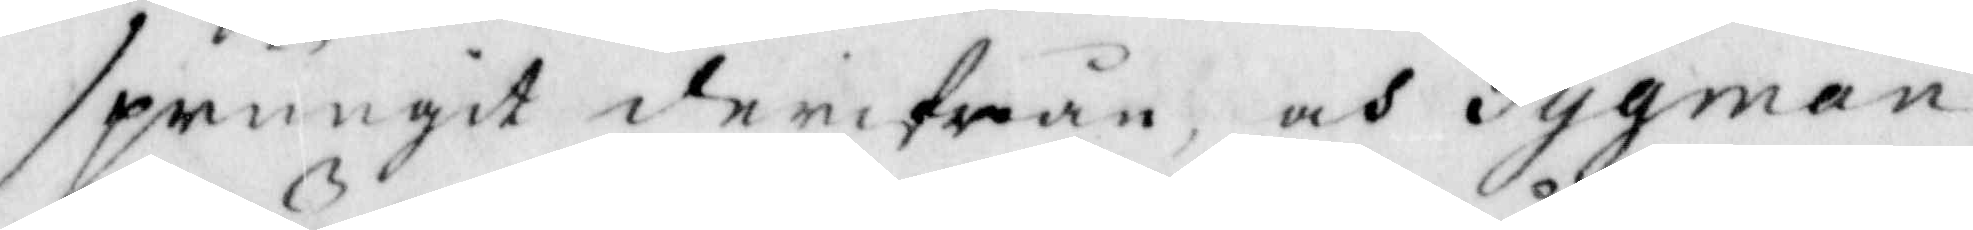sprungit derifrån, och Tygman
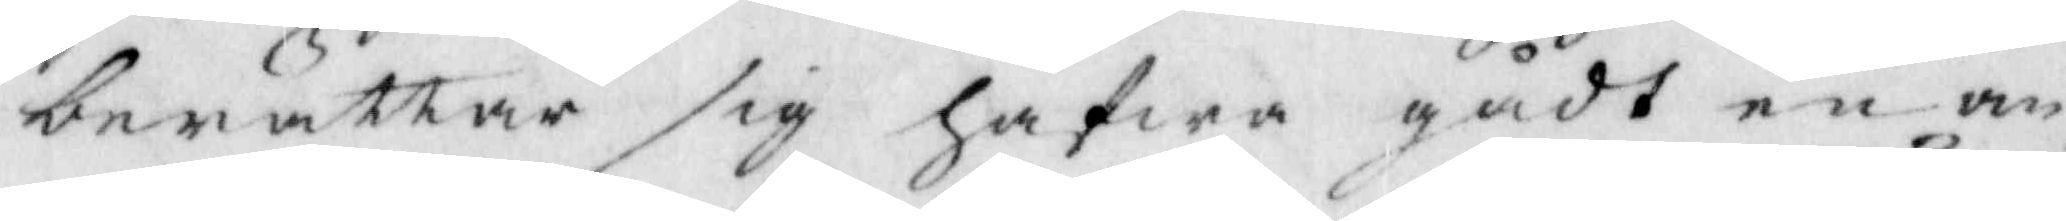berättar sig hafwa gådt en an¬
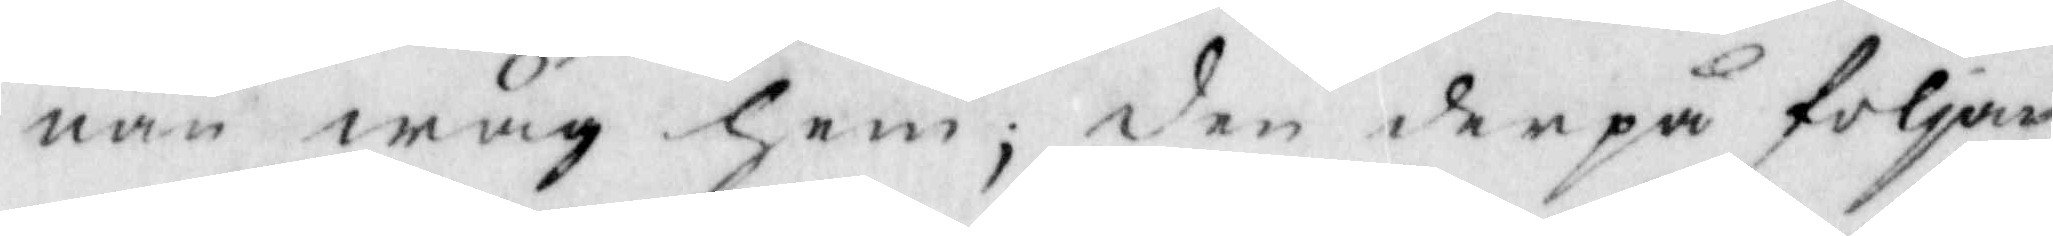nan wäg hem; den derpå följan¬
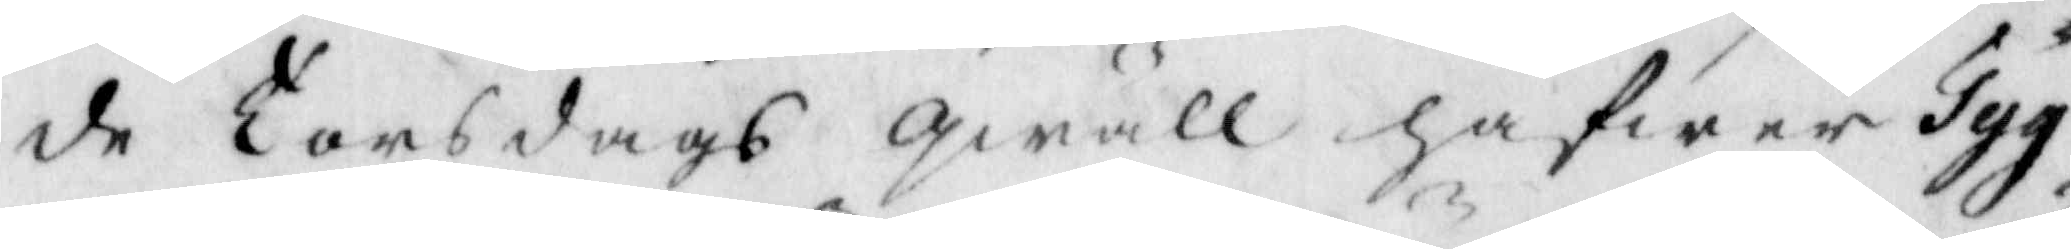de Torsdags qwäll hafwer Tyg¬
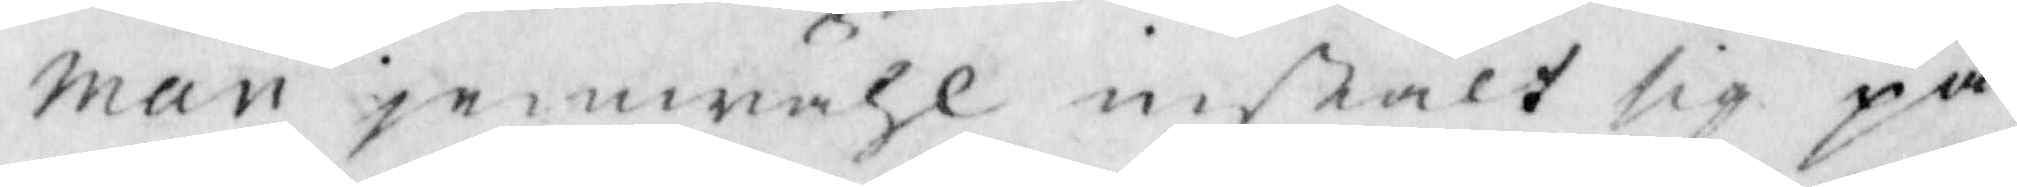man jemwähl instält sig på
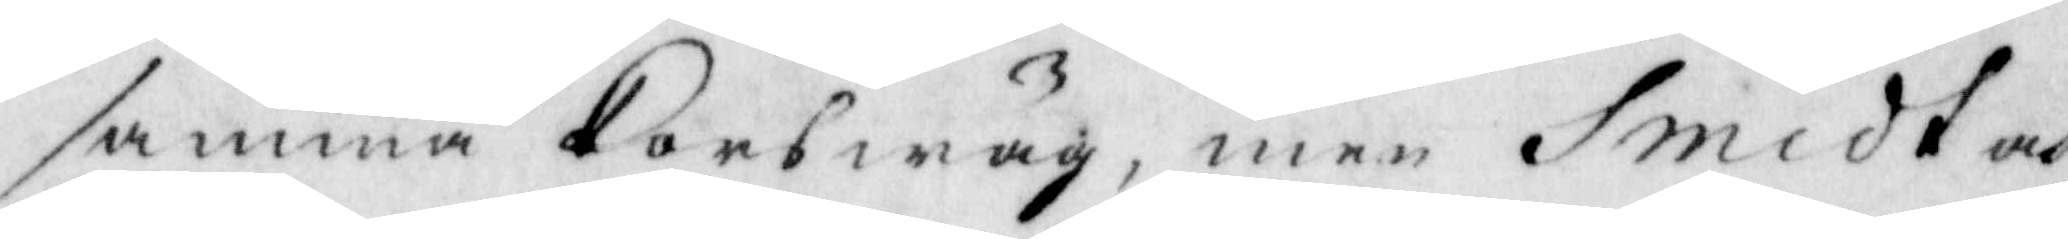samma Korswäg, men Smidt och
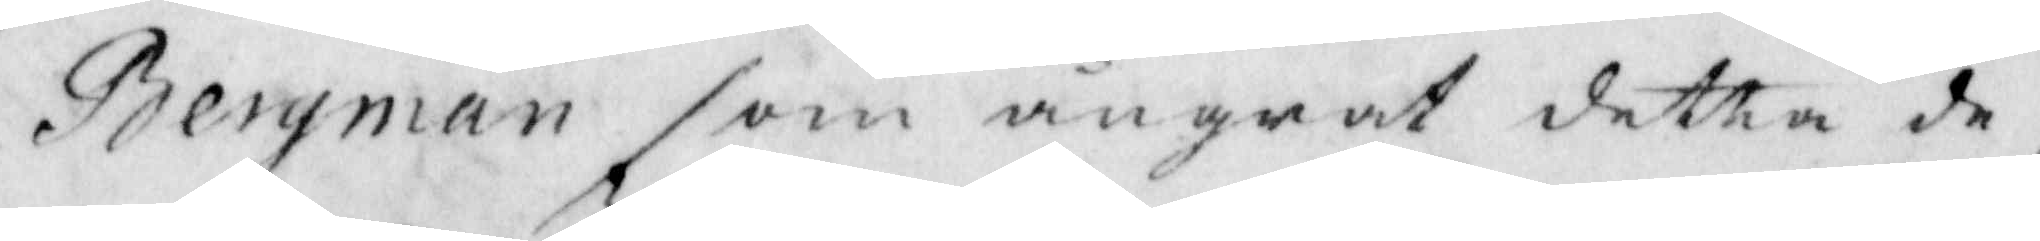Bergman som ångrat detta de¬
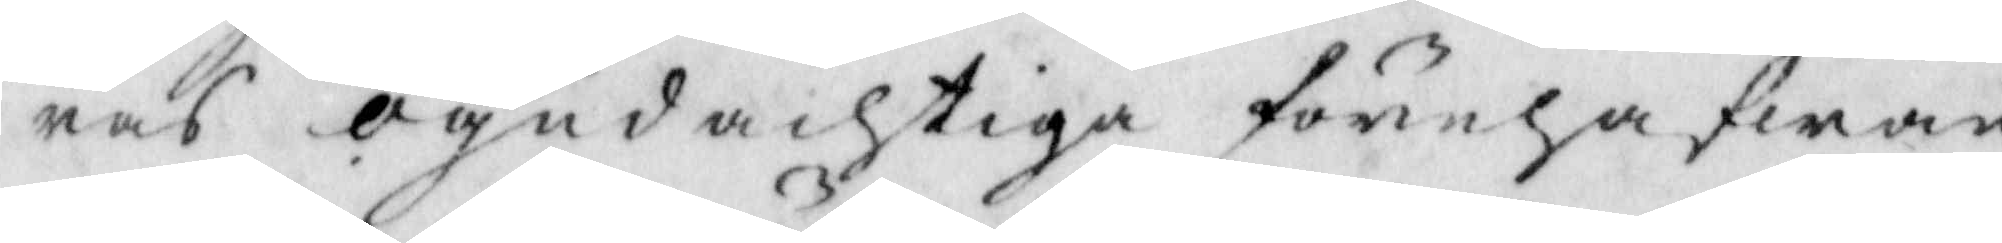ras ogudachtiga förehafwan¬
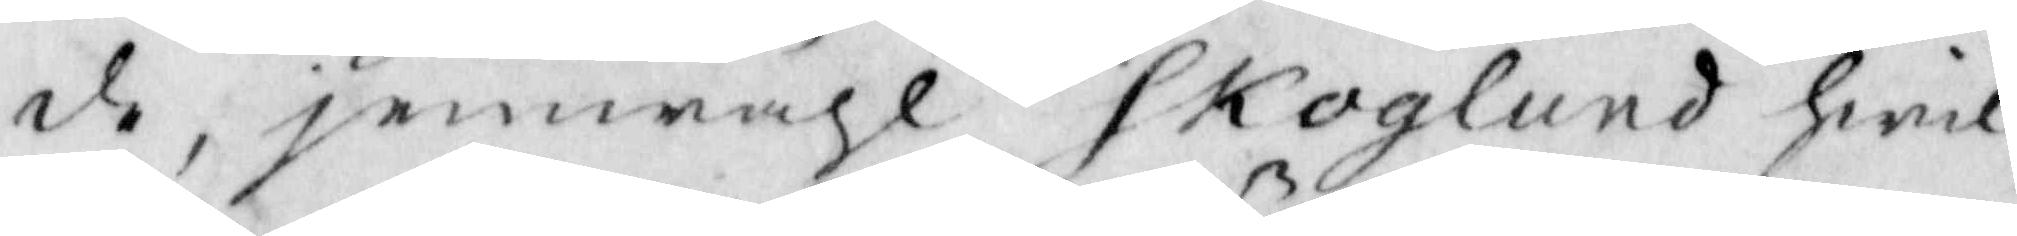de, jemwähl Skoglund hwil¬
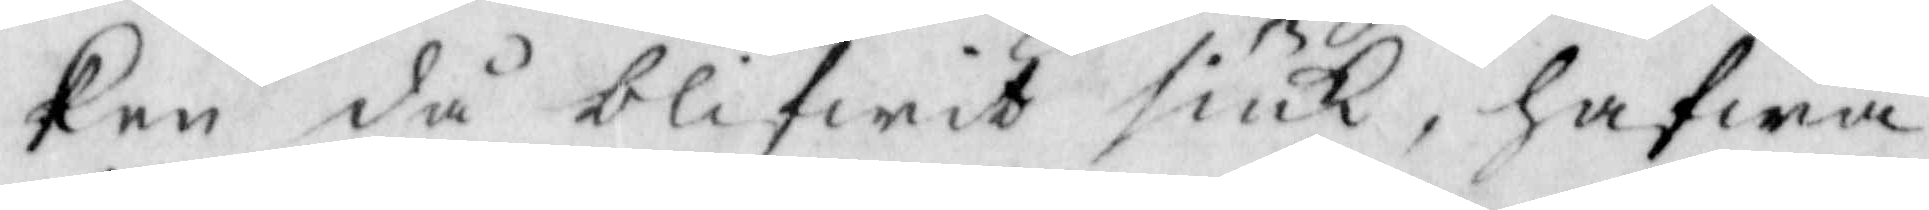ken då blifwit siuk, hafwa
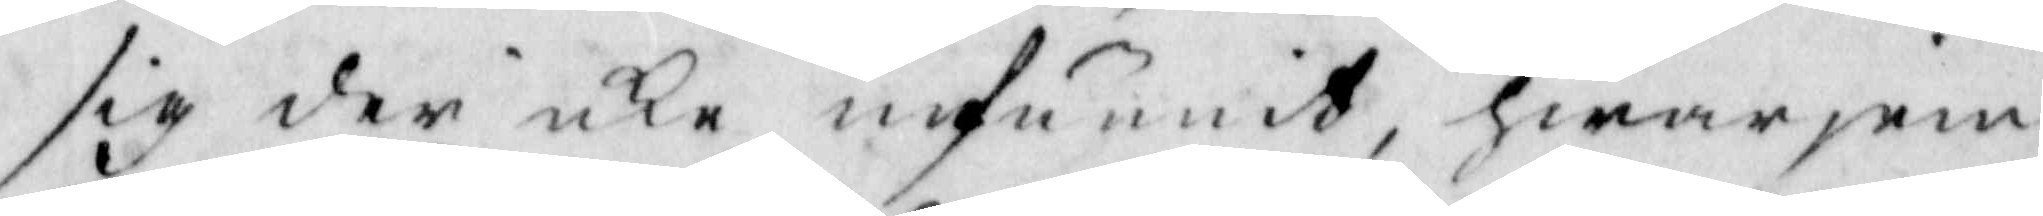sig der icke infunnit, hwarjem¬
